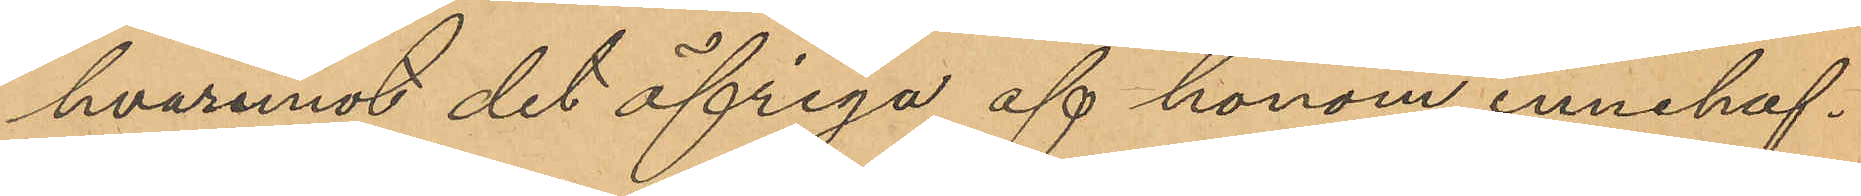hvaremot det öfriga af honom innehaf¬
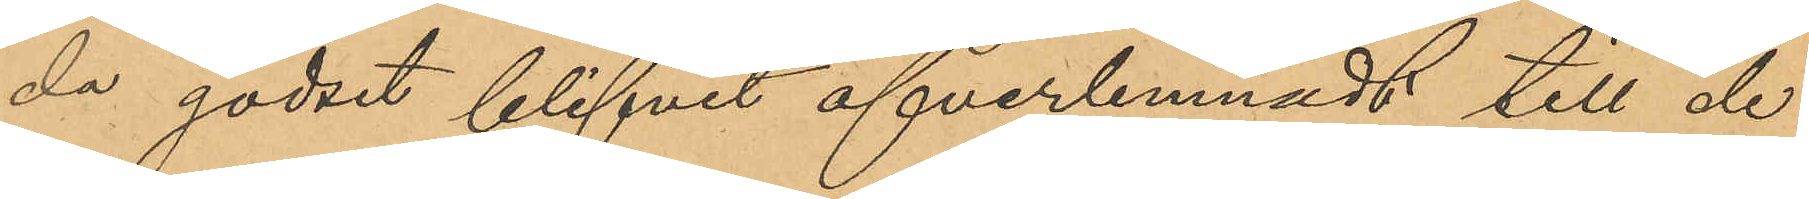da godset blifvit öfverlemnadt till de
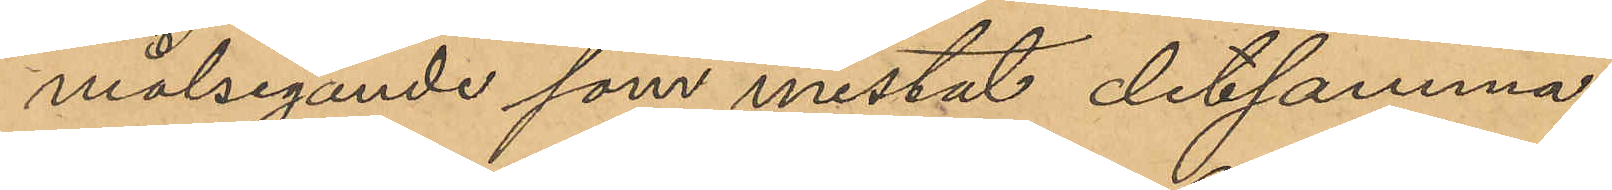målsegande som mistat detsamma.
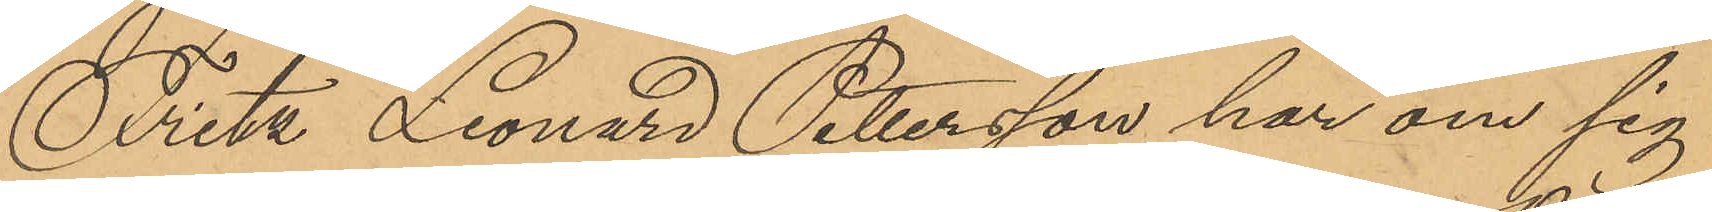Fritz Leonard Petersson har om sig
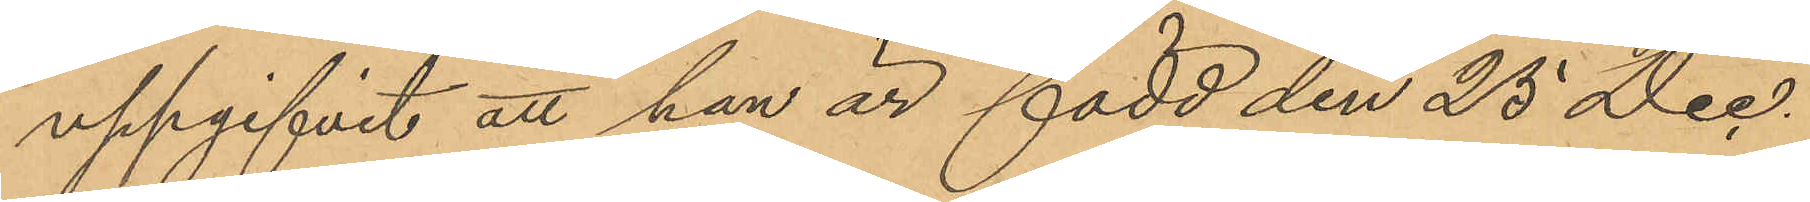uppgifvit att han är född den 25 Dec.
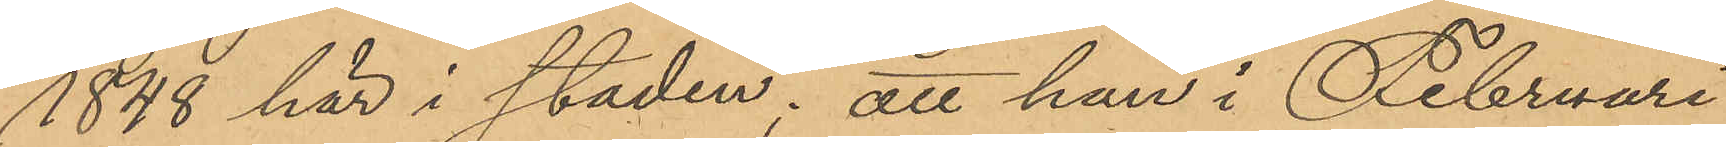1848 här i staden; att han i Februari
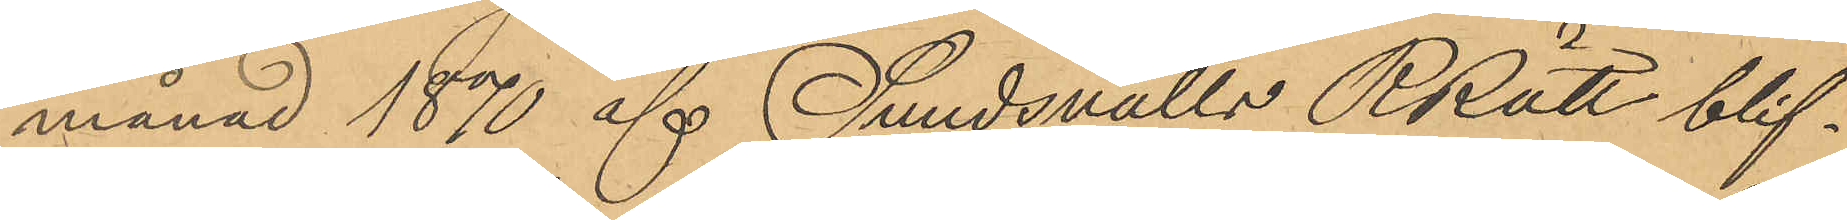månad 1870 af Sundsvalls RRätt blif¬
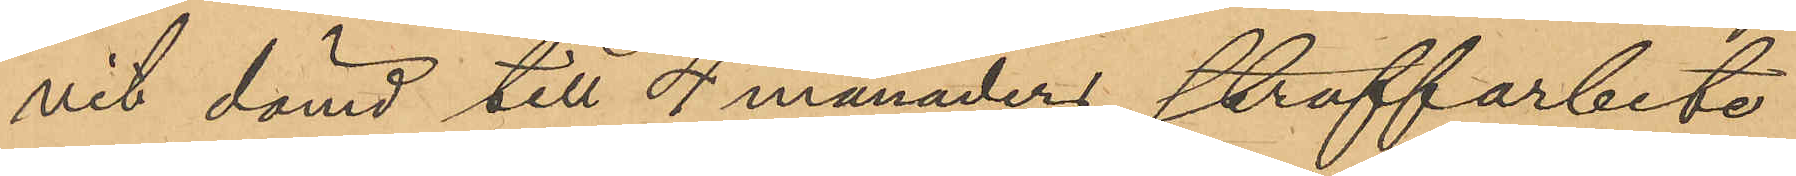vit dömd till 4 månaders straffarbete
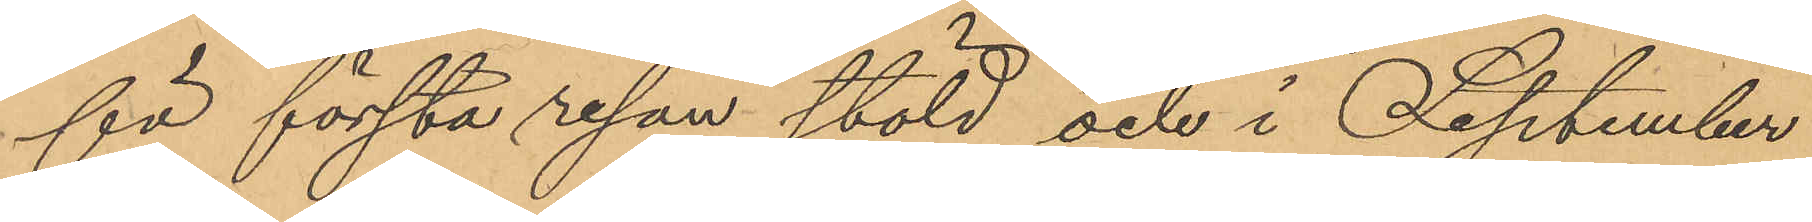för första resan stöld och i September
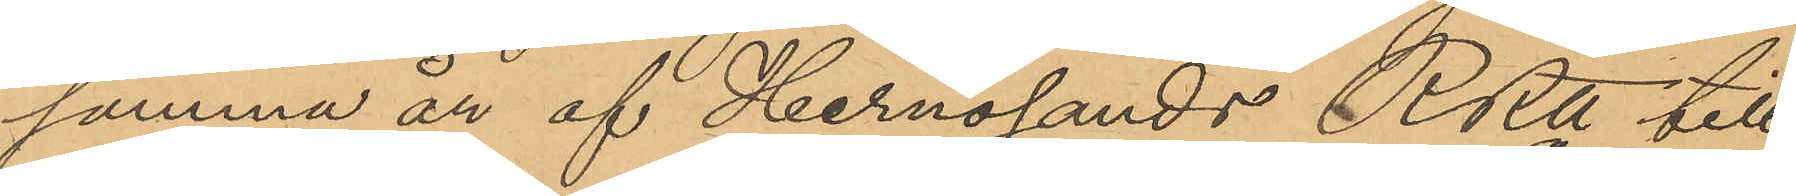samma år af Hernösands RRtt till
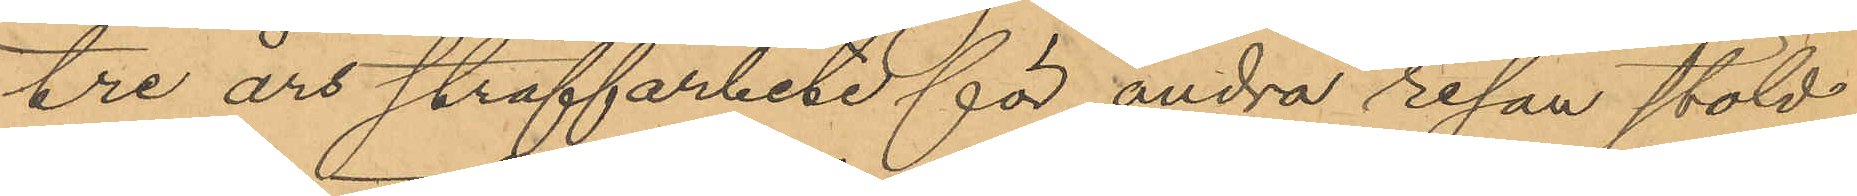tre års straffarbete för andra resan stöld;
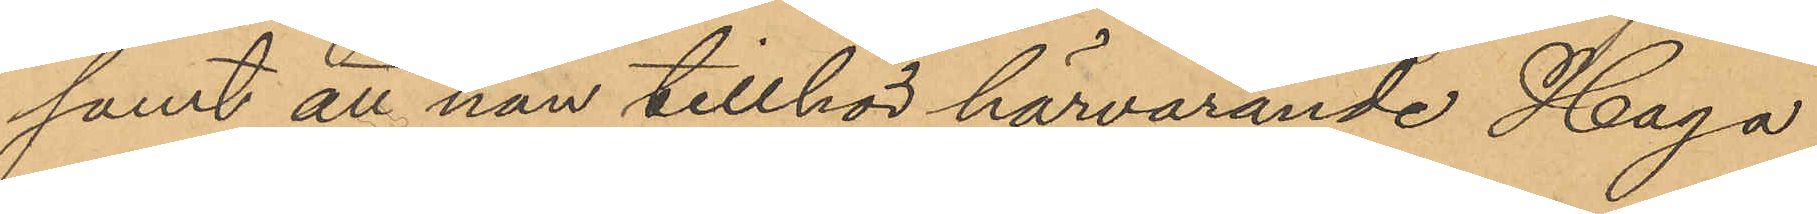samt att han tillhör härvarande Haga
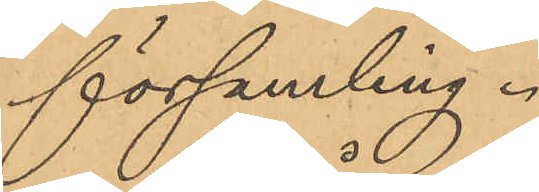församling.
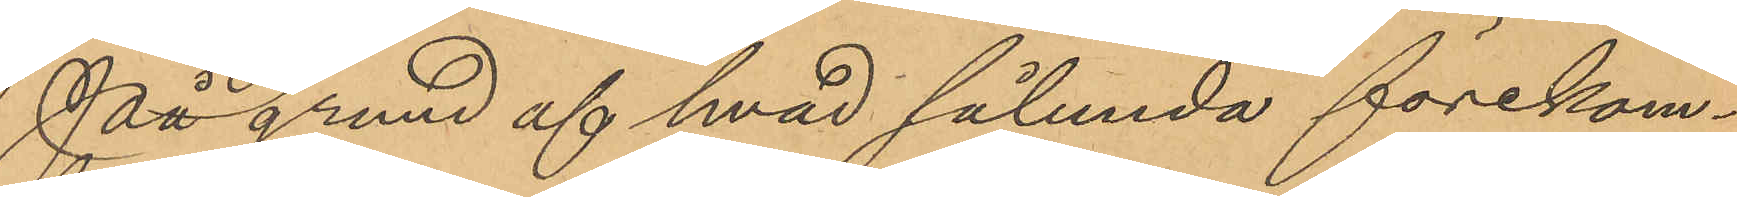På grund af hvad sålunda förekom¬
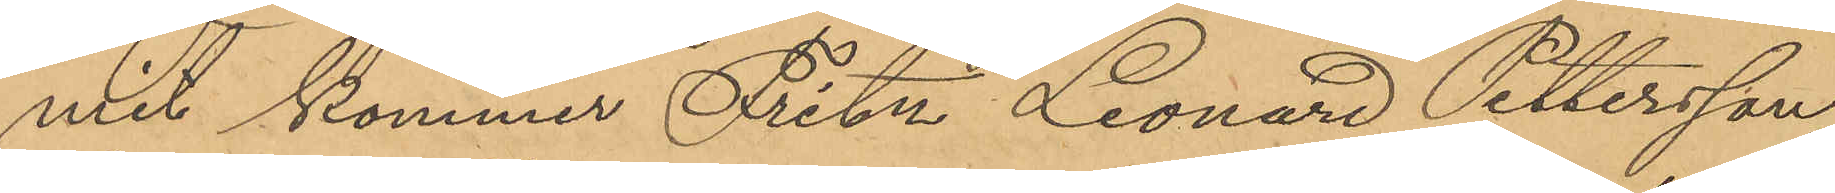mit kommer Fritz Leonard Pettersson,
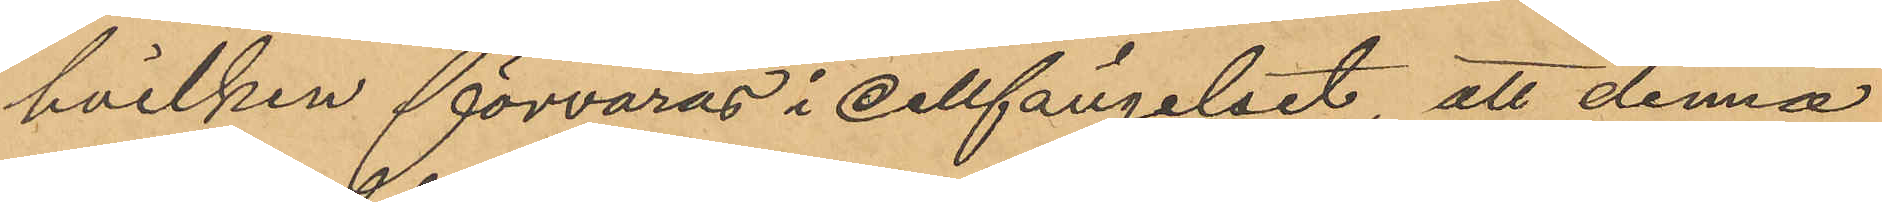hvilken förvaras i cellfängelset, att denna
